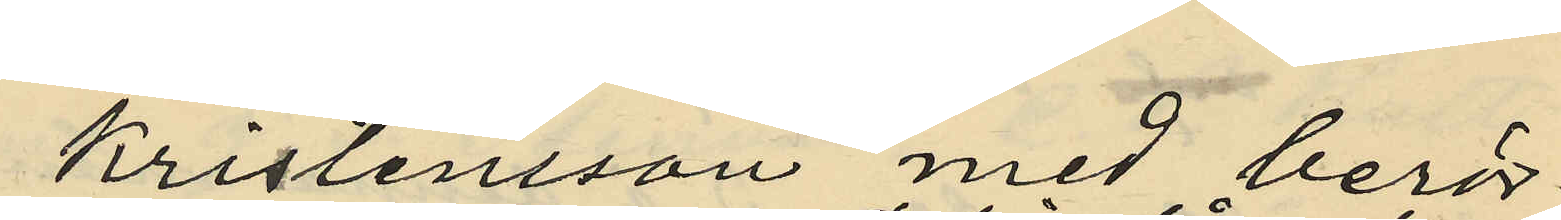Kristensson med berör¬
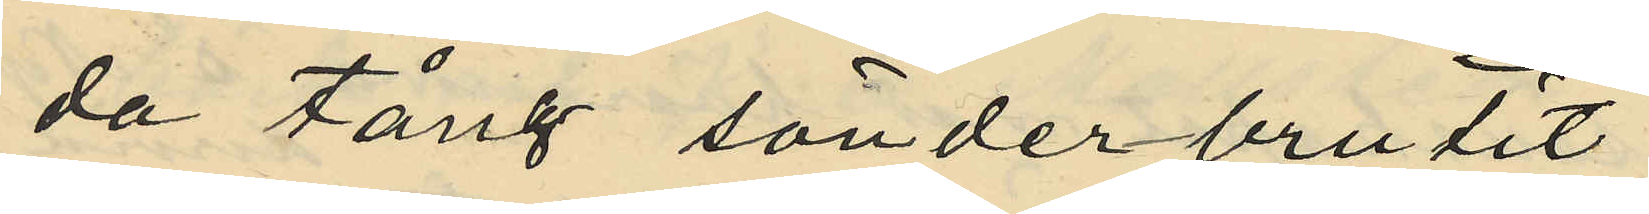da tång sönderbrutit
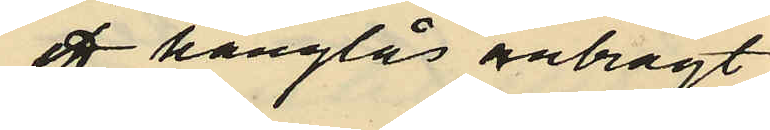ett hänglås anbragt
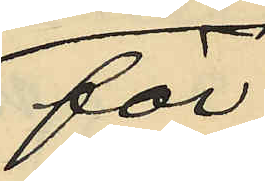för
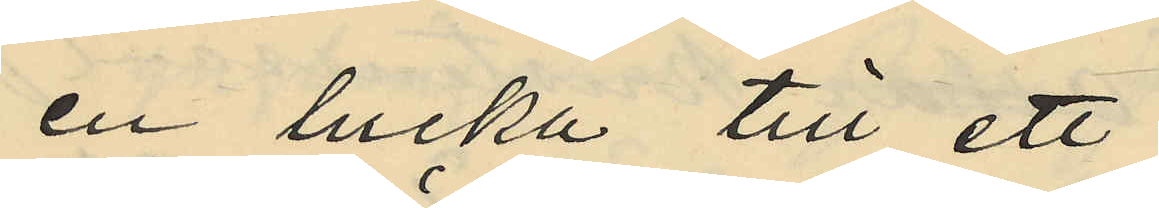en lucka till ett
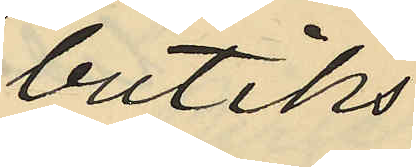butiks¬
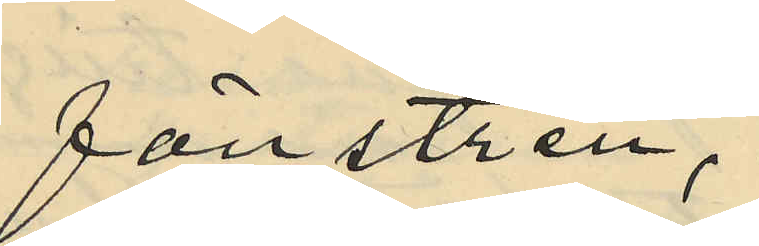fönstren,
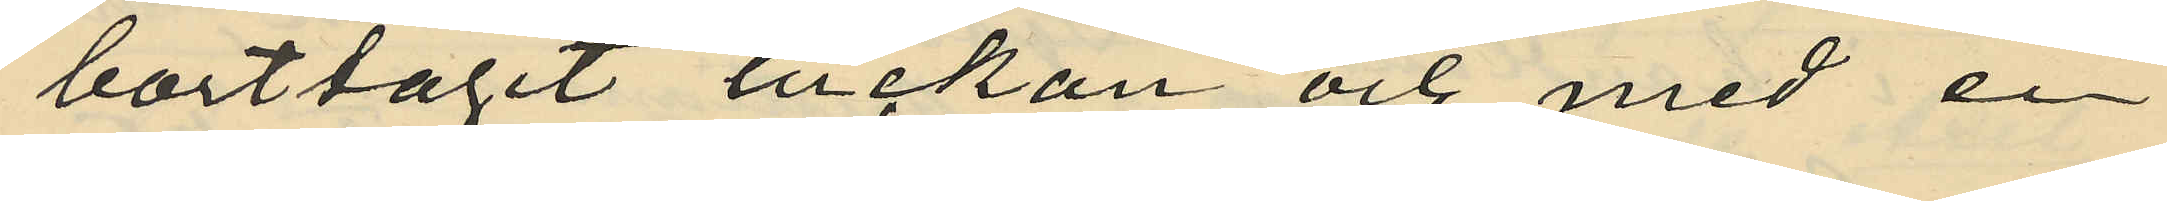borttagit luckan och med en
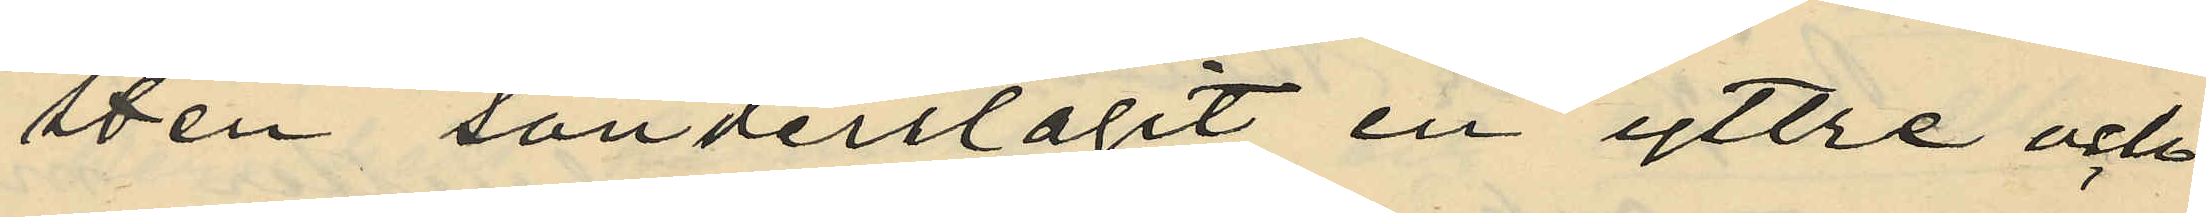sten sönderslagit en yttre och
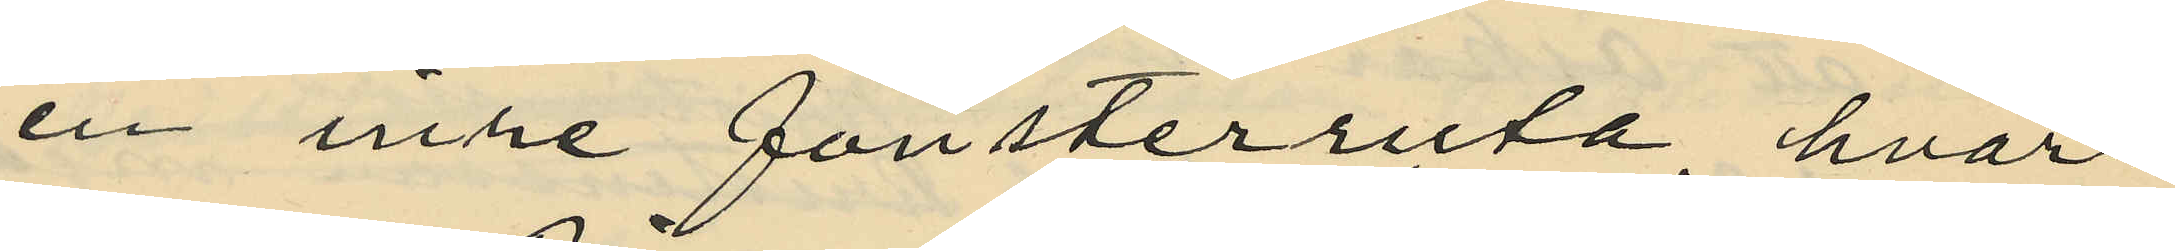en inre fönsterruta hvar¬
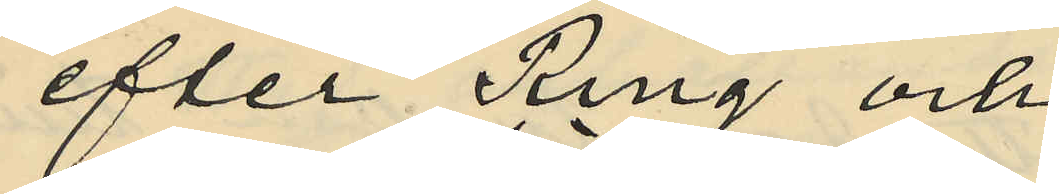efter Ring och
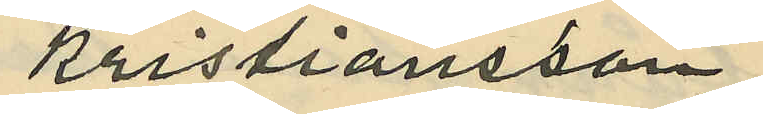Kristiansson
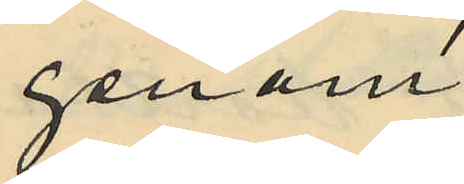genom
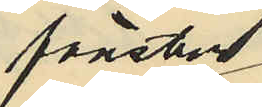fönster
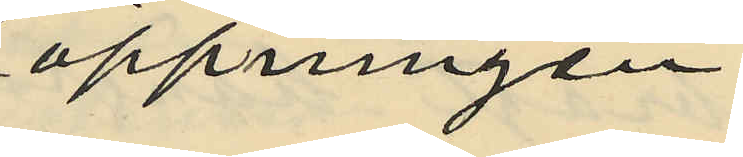öppningen
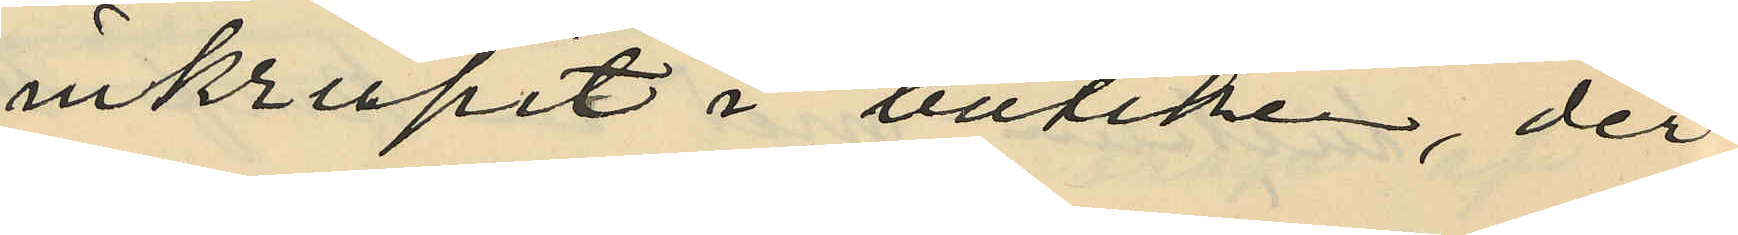inkrupit i butiken, der
